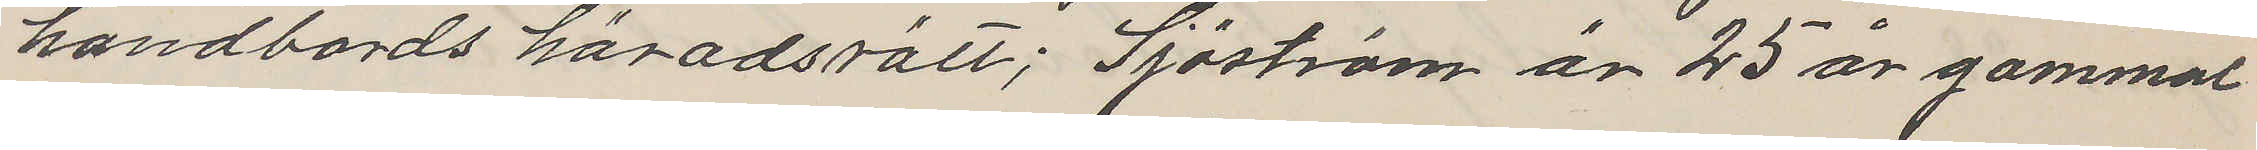handbords häradsrätt; Sjöström är 25 år gammal
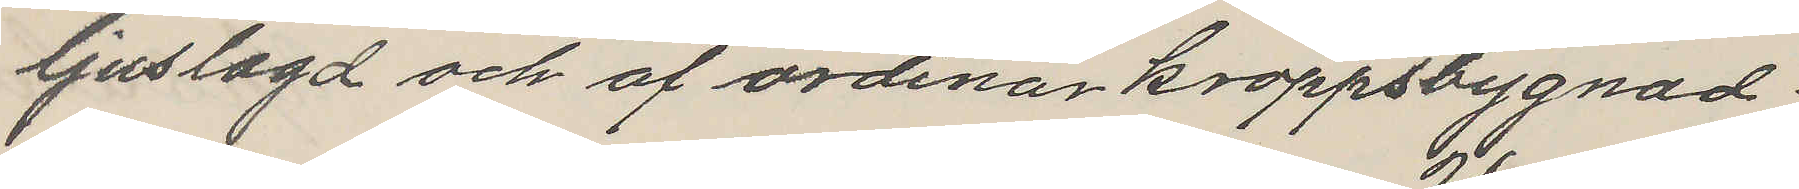ljuslagd och af ordinär kroppsbygnad.
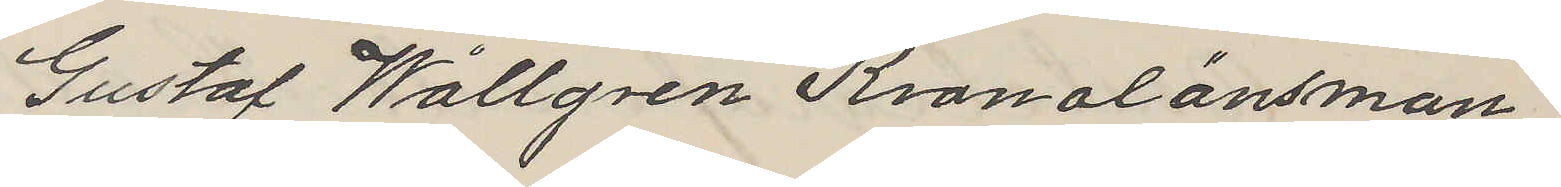Gustaf Wallgren Kronolänsman
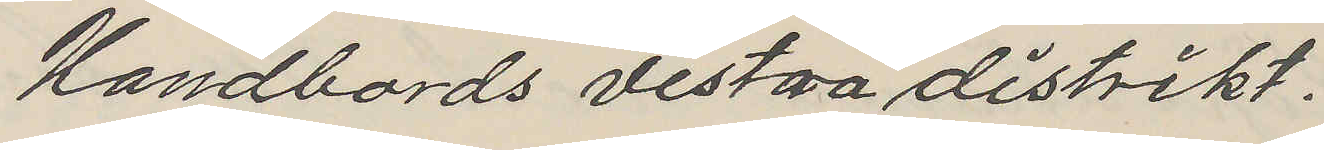Handbords vestra distrikt.
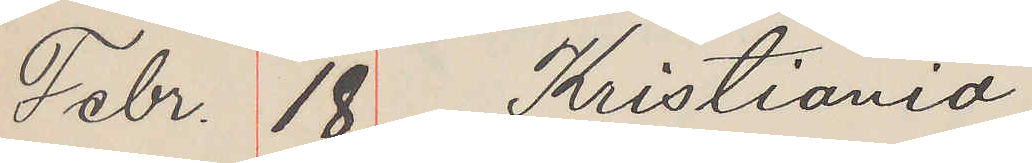Febr. 18 Kristiania
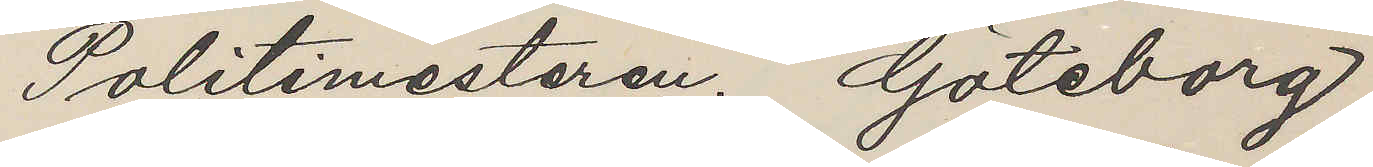Politimesteren Göteborg.
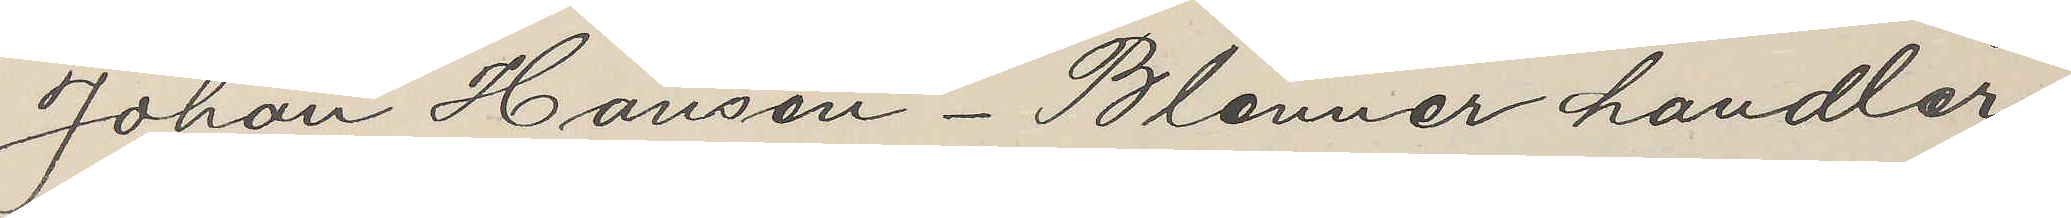Johan Hansen Blenner handler
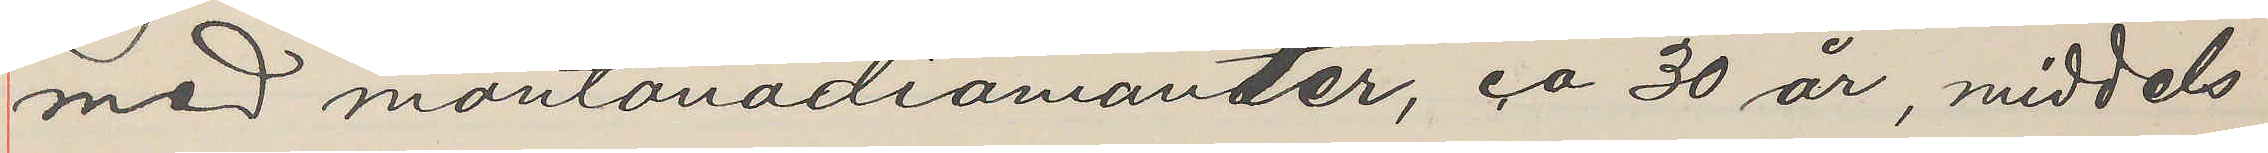med montanadiamanter, ca 30 år, middels
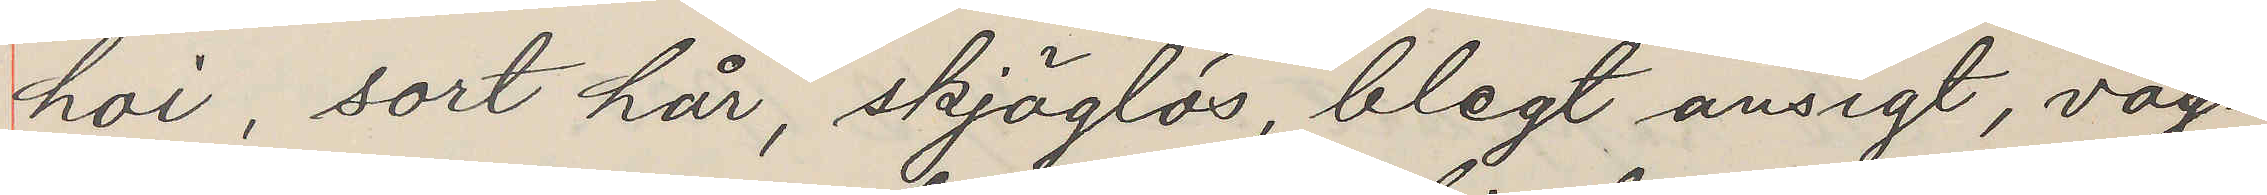hoi, sort hår, skjäglös, blegt ansigt, vag¬
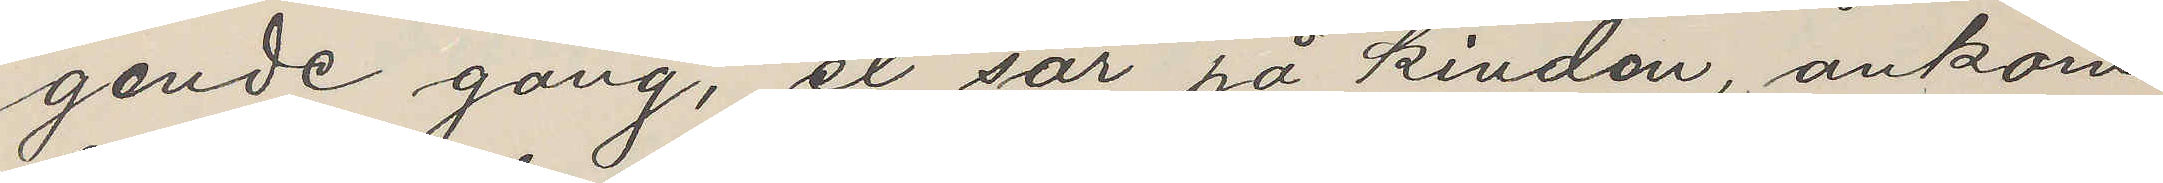gende gang, et sår på kinden, ankom
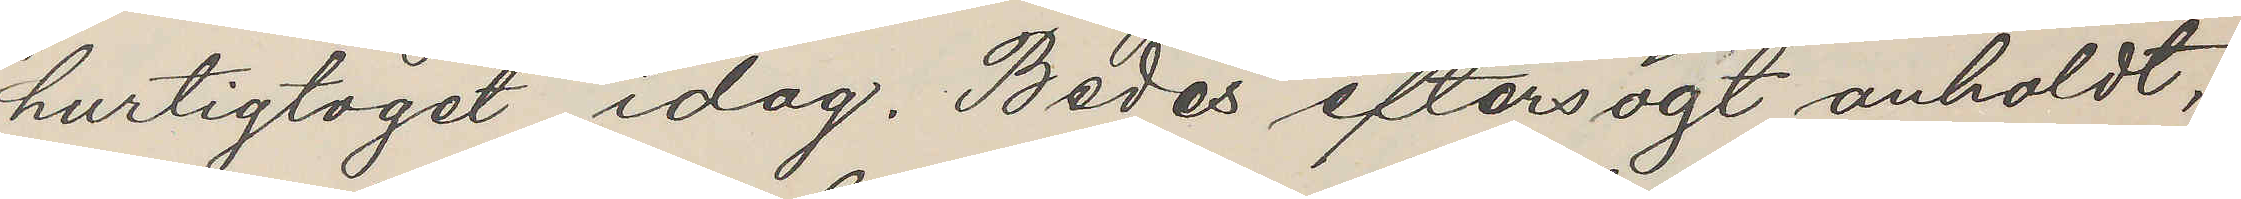hurtigtoget idag. Bedes eftersögt anholdt,
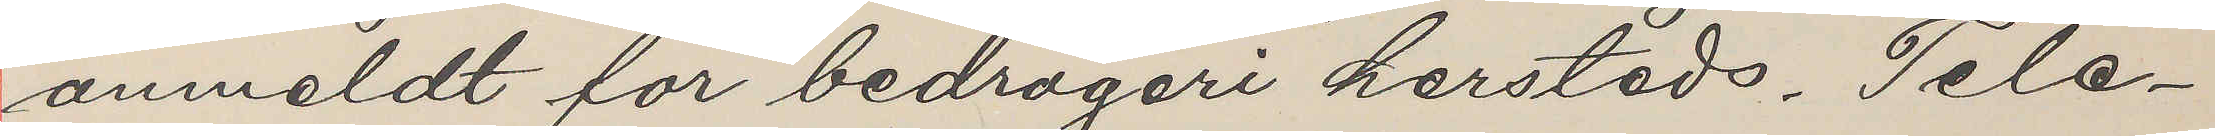anmeldt for bedrageri hersteds. Tele¬
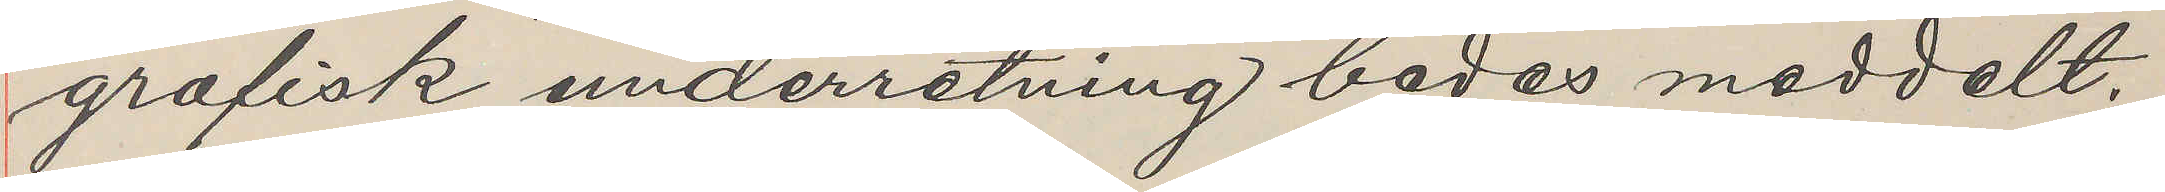grafisk underretning bedes meddelt.
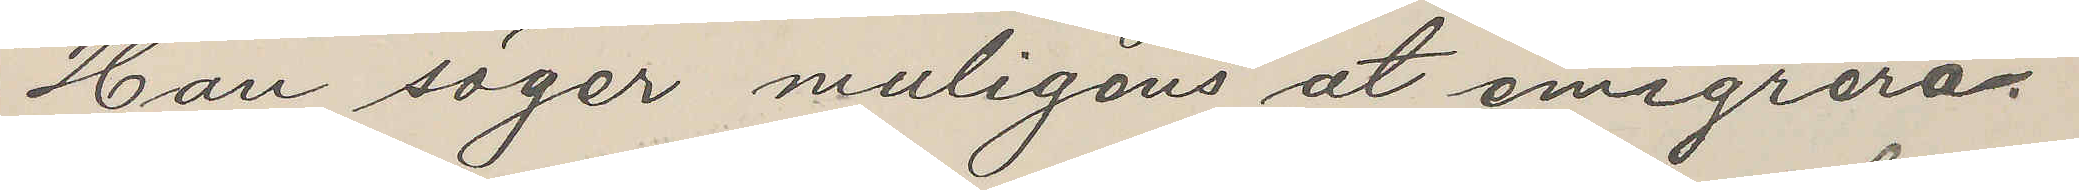Han säger muligens åt emigrera.
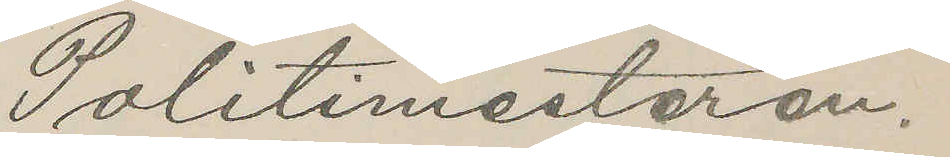Politimesteren.
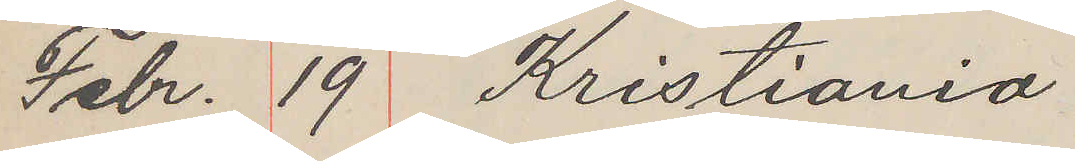Febr. 19 Kristiania
